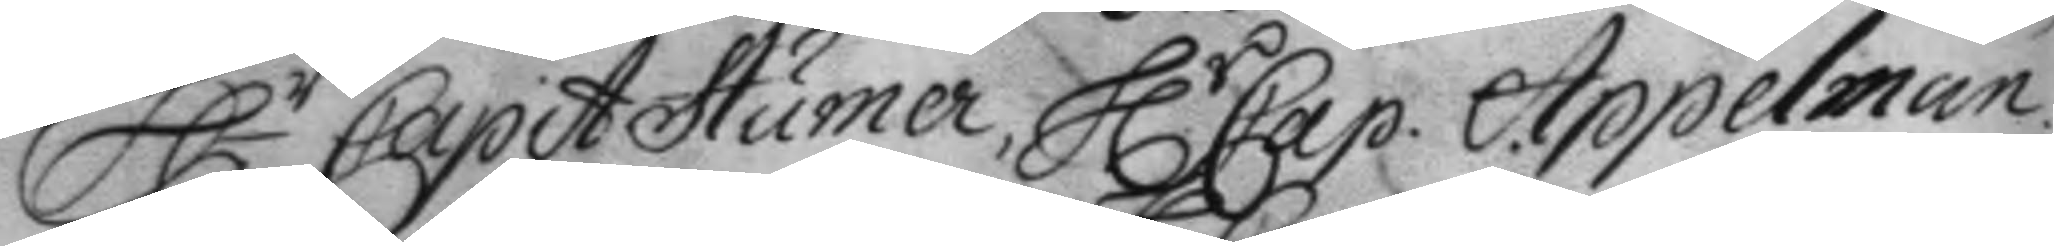H.r Capit Humer, H.r Cap. Appelman
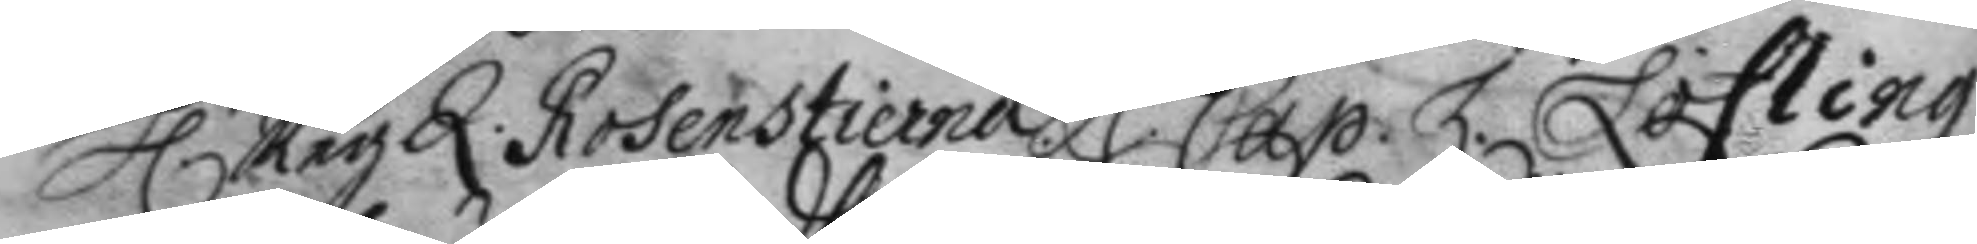H.r Reg.Q. Rosenstierna. H.r Cap Z. Lofling
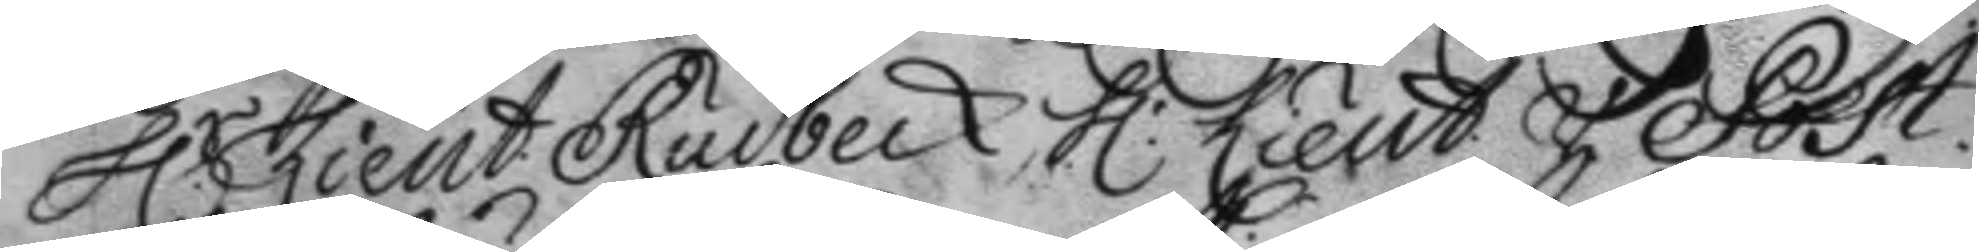H.r Lieut. Rudbeck. H.r Lieut. v Post.
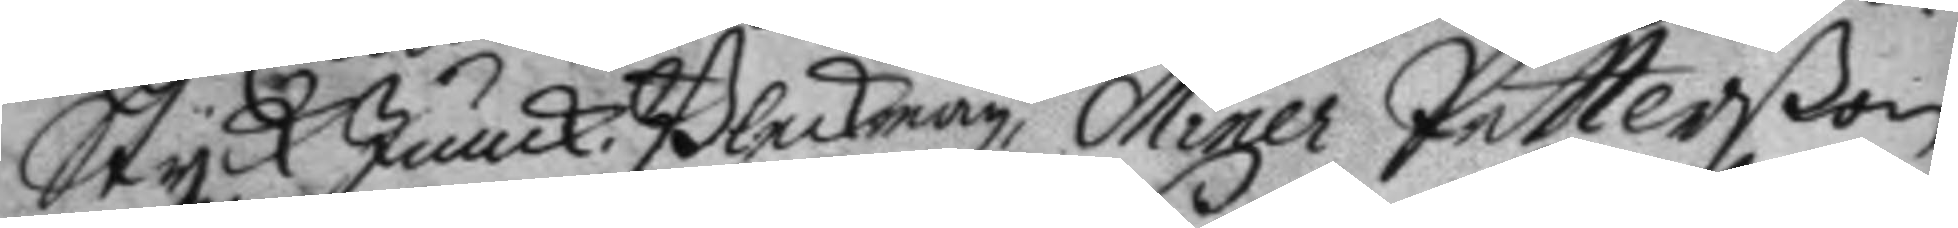Styck Junck. Bleckman. Miner Petterßon
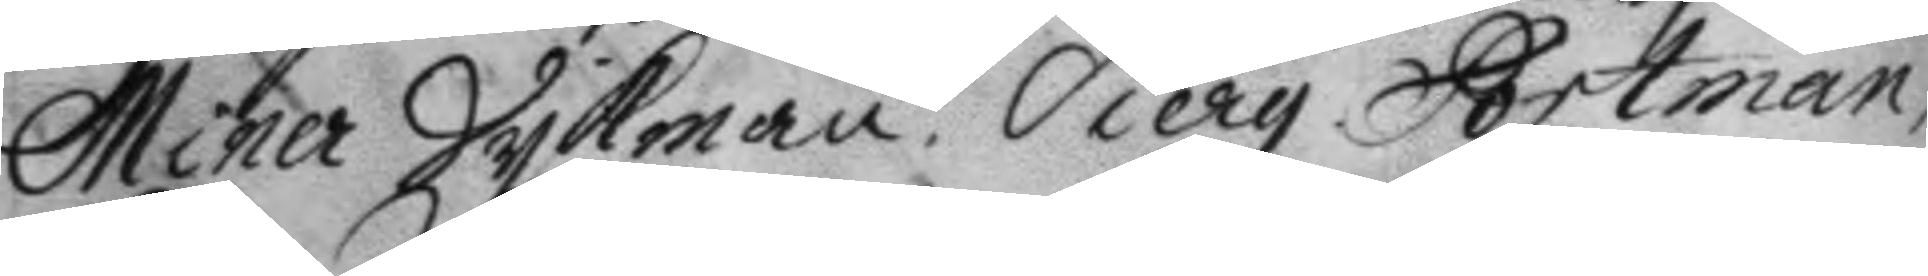Miner Sykman, Sierg Portman,
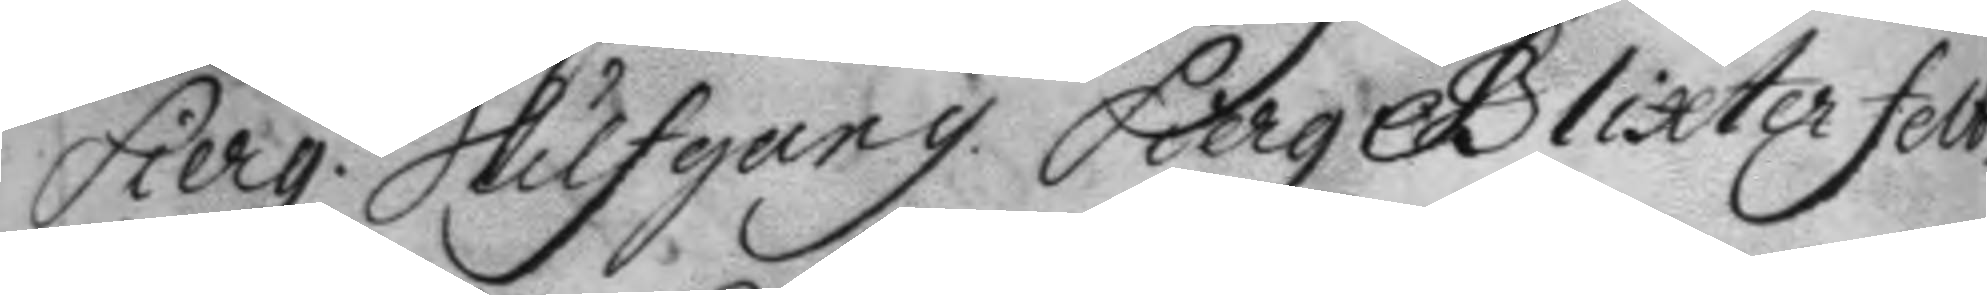Sierg. Hilfgang, Sierg. Blixterfelt.
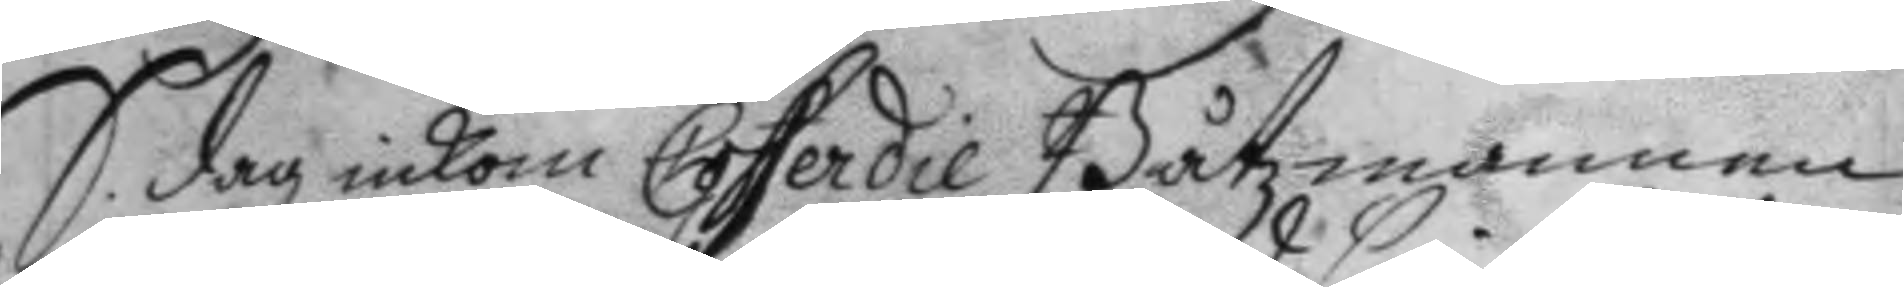S. dag inkom Cofferdie Båtzmannen
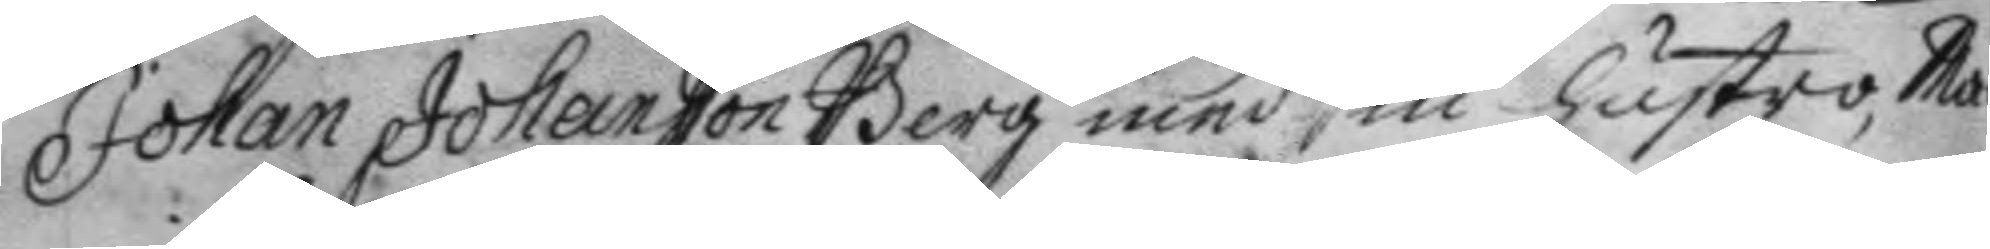Johan Johansson Berg med sin hustru, Ma¬
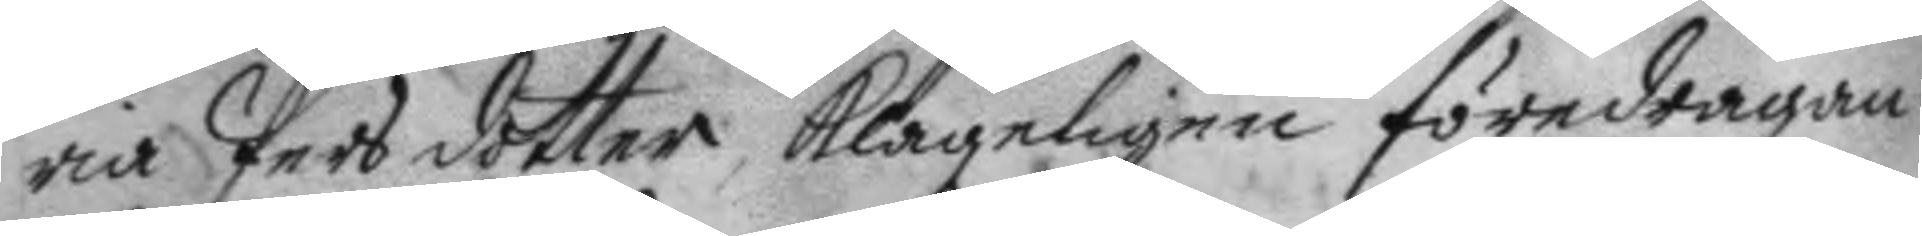ria Persdotter, klageligen föredragan¬
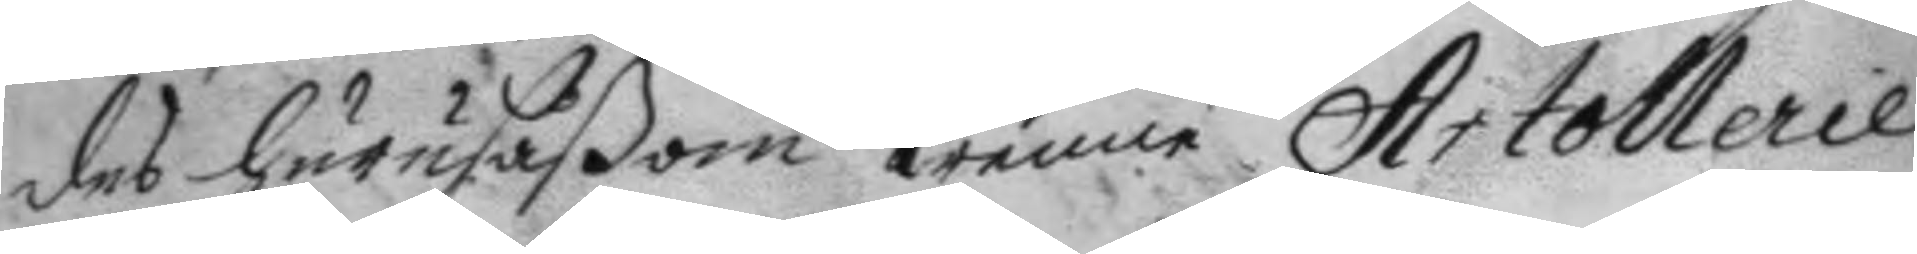des huru såßom trenne Artollerie 
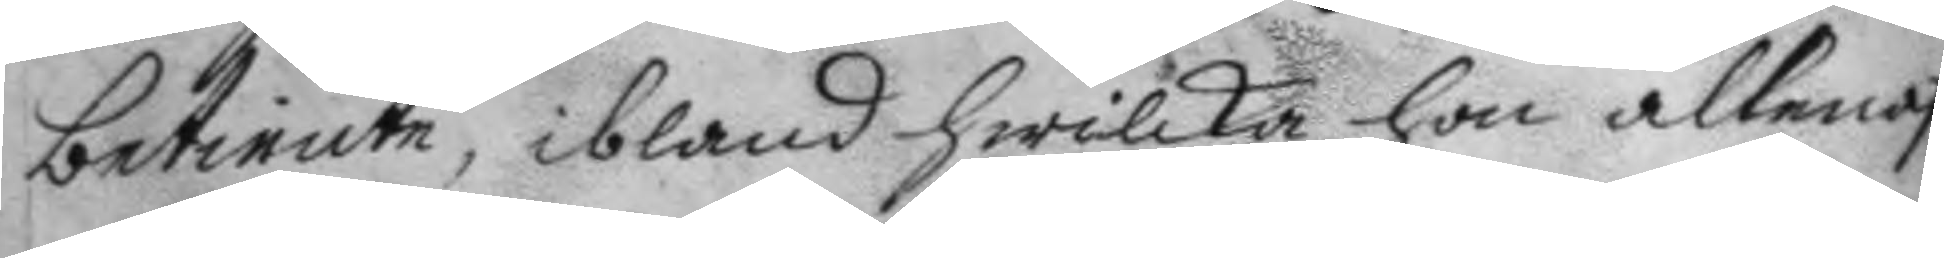betiente, ibland hwilka hon allenast
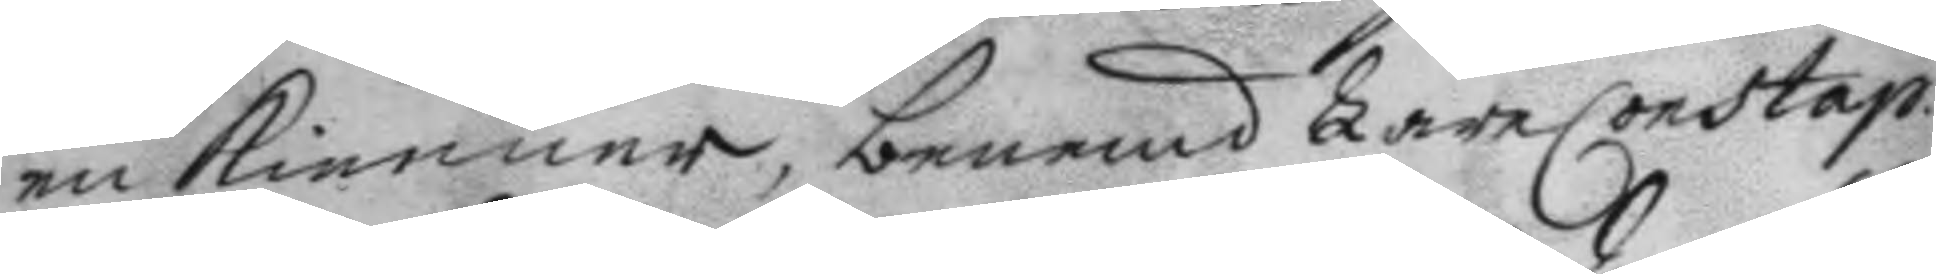en kienner, benemd LäreConstap.
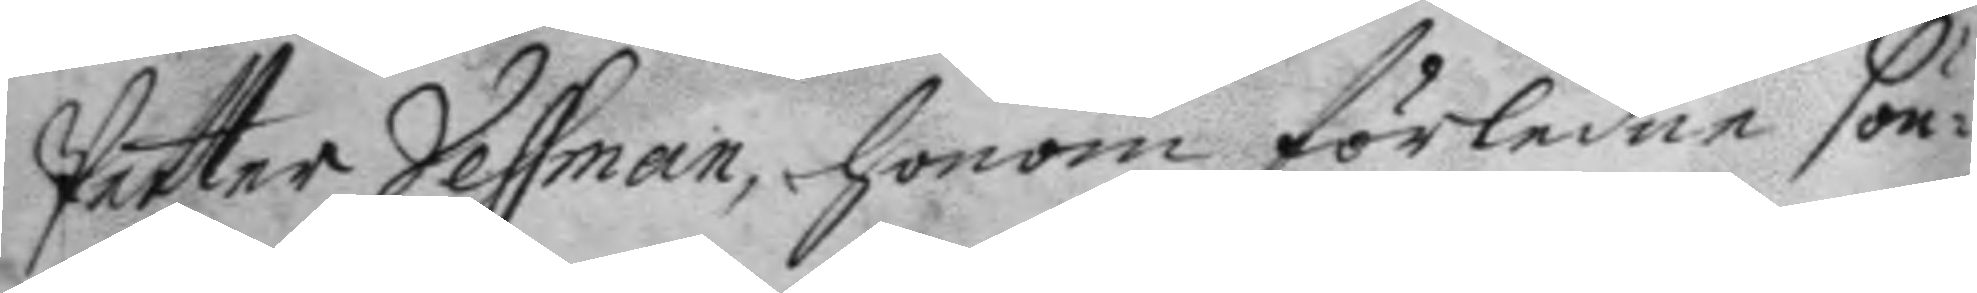Petter Vessman, honom förledne sön¬
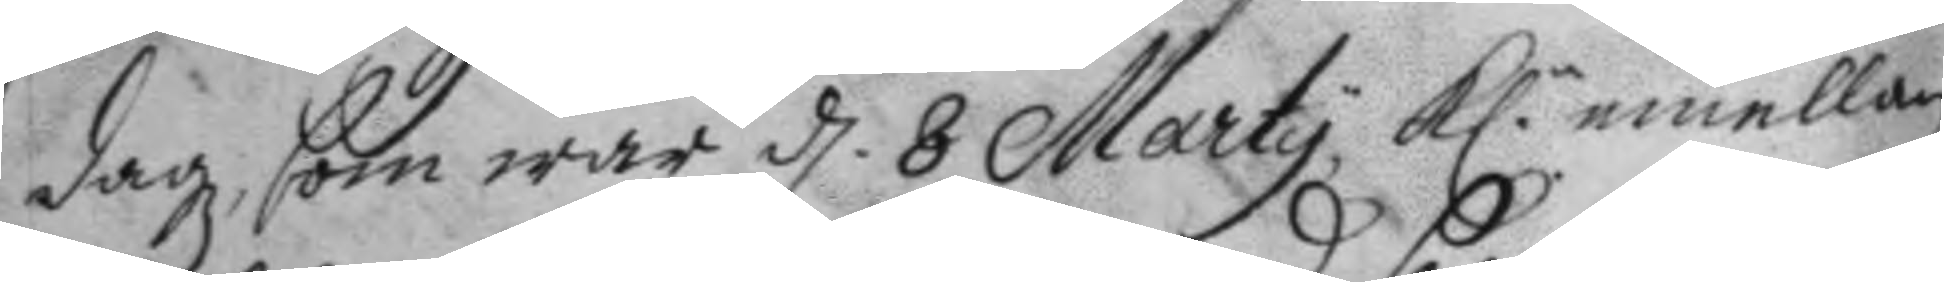dagz, som war d. 8 Marty, kl. emellan
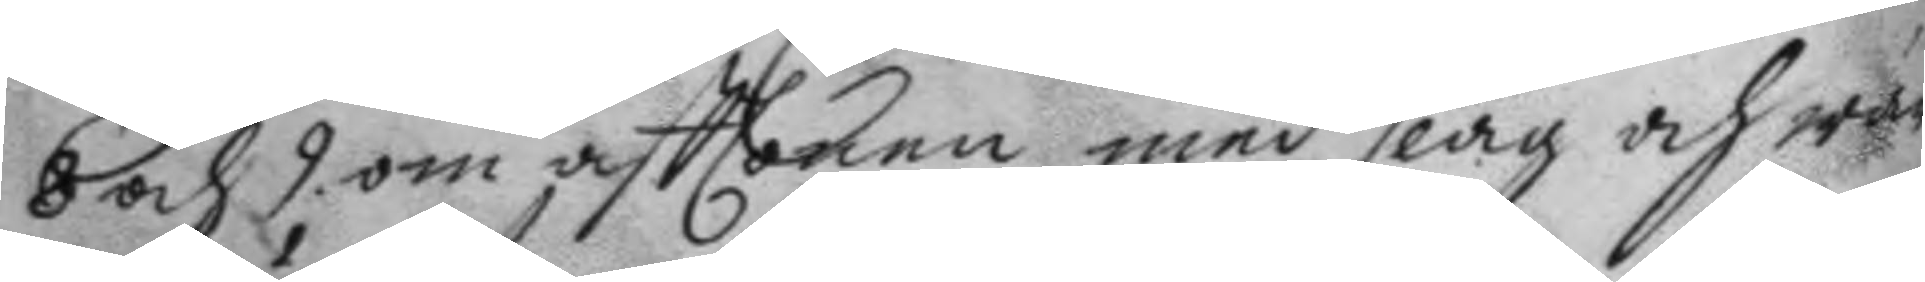8 och 9 om afttonen med slag och wär¬
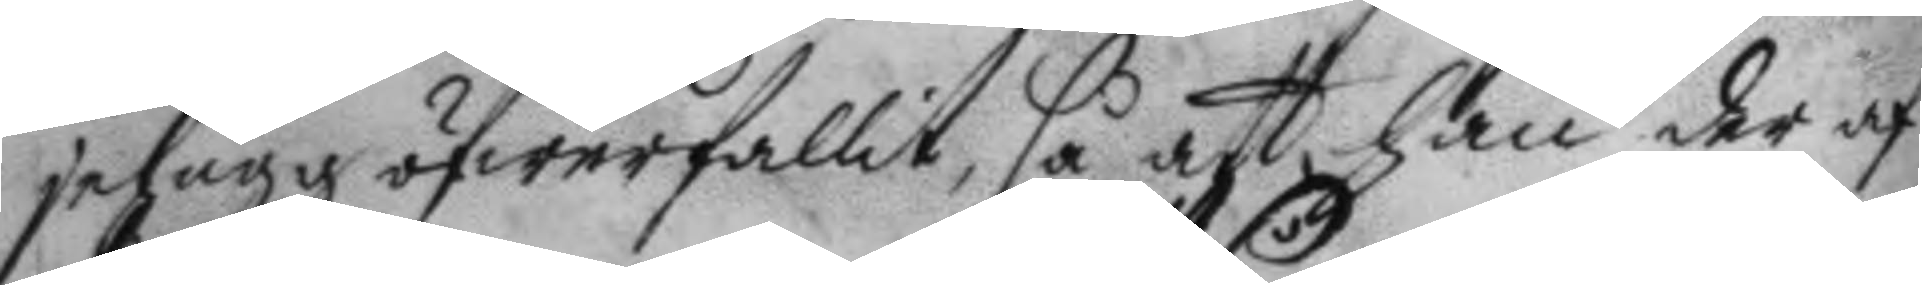jehugg öfwerfallit, så att han der af
